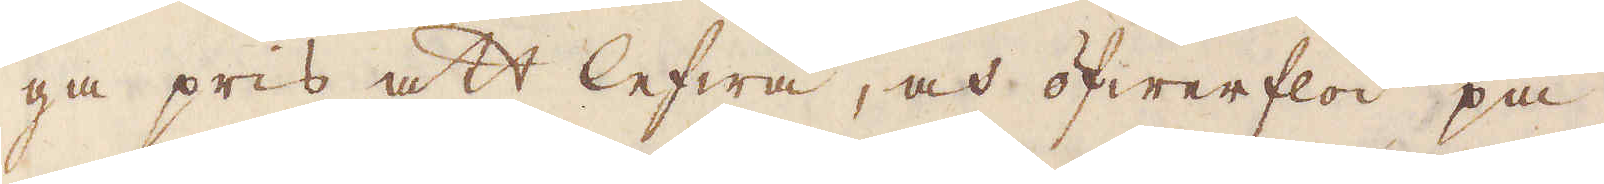ga pris att lefwa, och öfwerflöd på
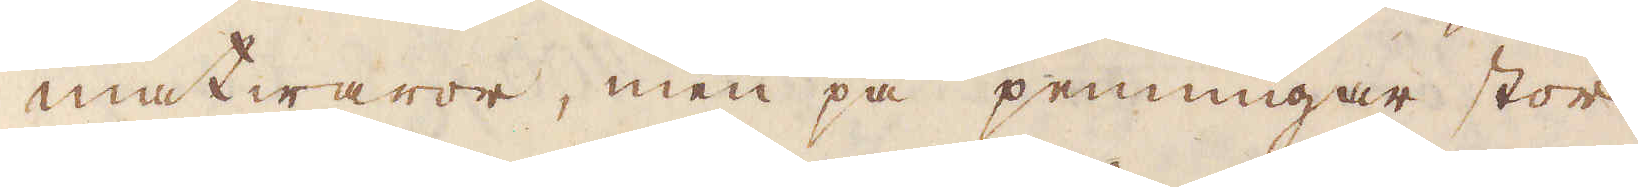matwaror, men på penningar stor
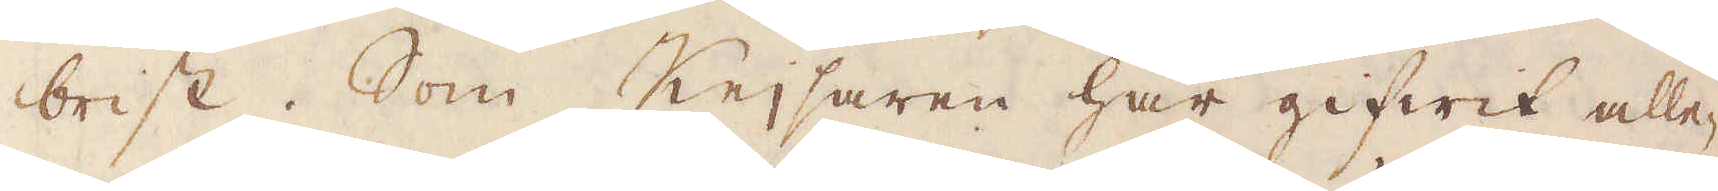brist. Som Keijsaren har gifwit alle-
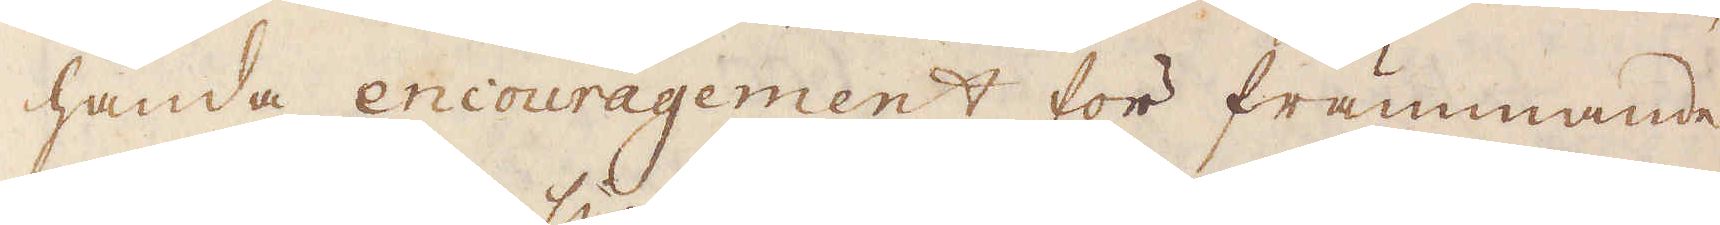handa encouragement för främmande
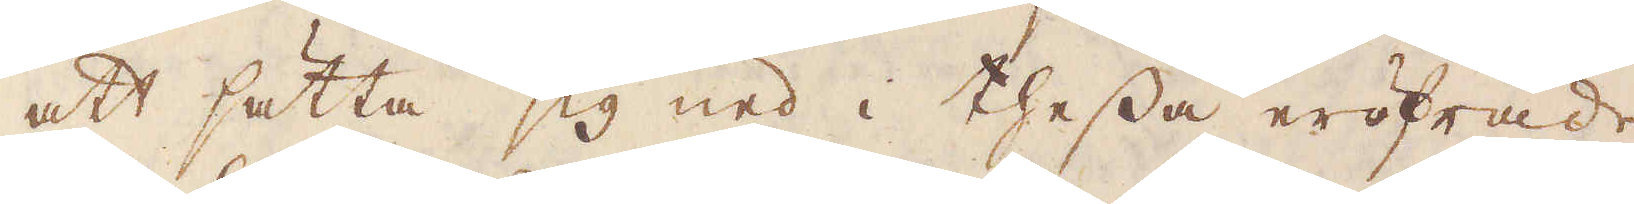att sätta sig ned i thessa eröfrade
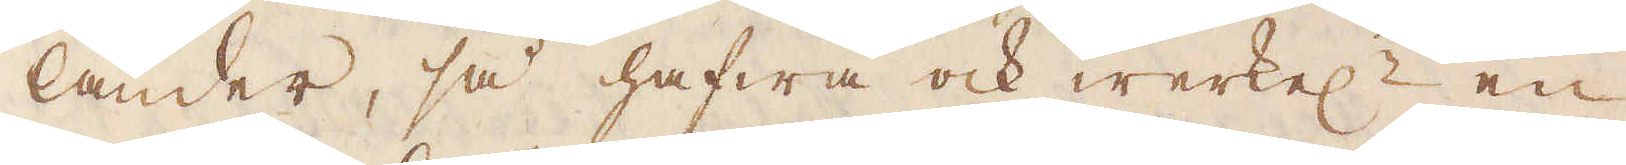länder, så hafwa ock werkel:n en
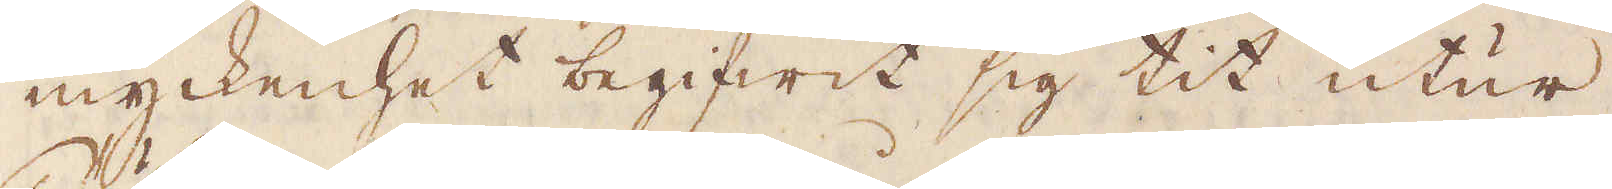myckenhet begifwit sig tit utur
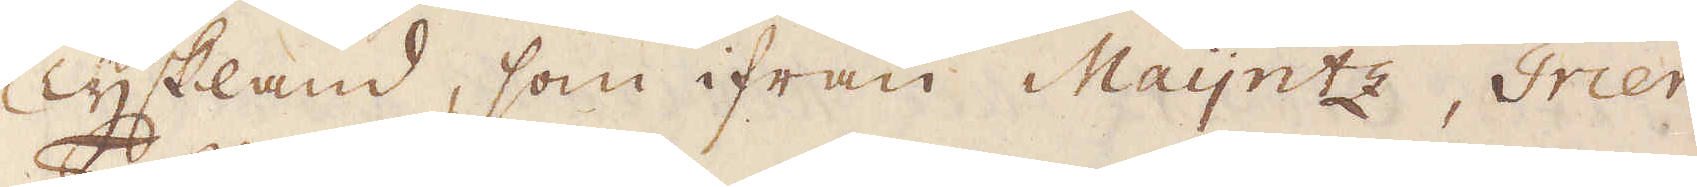Tyskland, som ifrån Maijntz, Trier
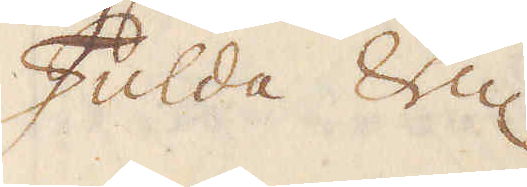Fulda &c.
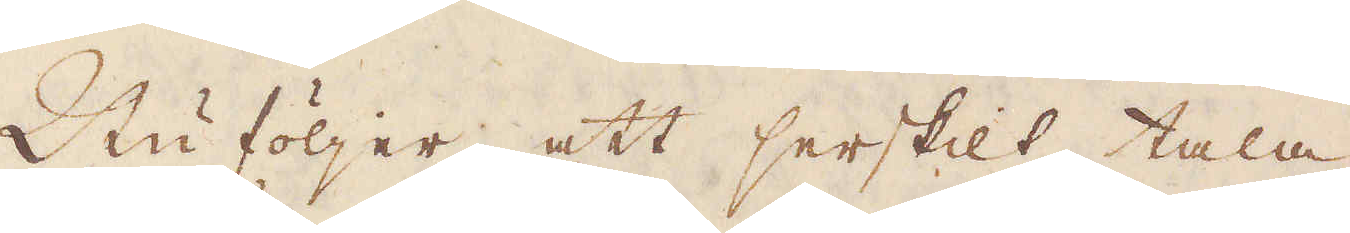Nu följer att serskilt tala
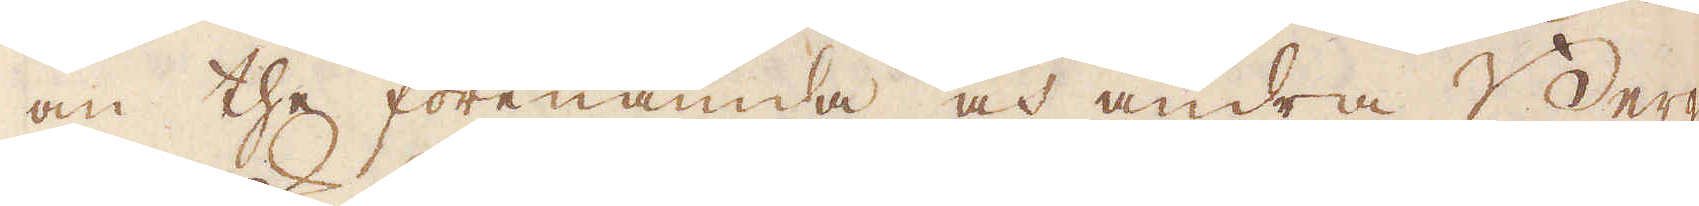om the förenämda och andra Berg-
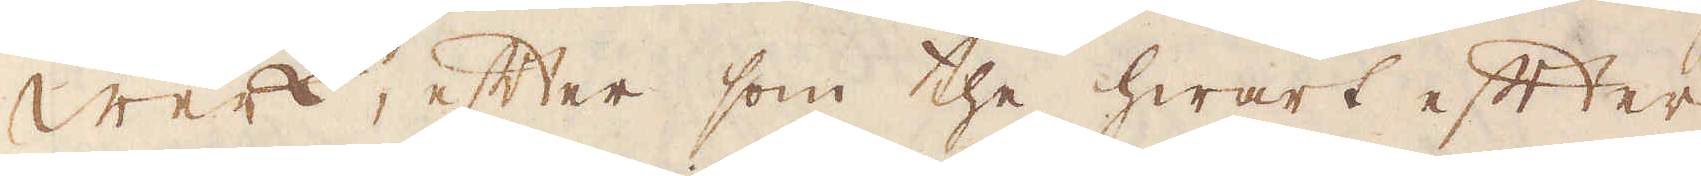Werk, efter som the hwart efter
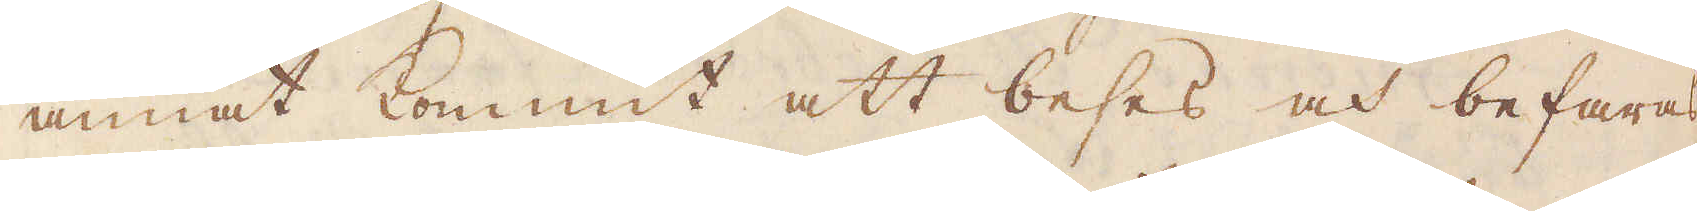annat kommit att beses och befaras
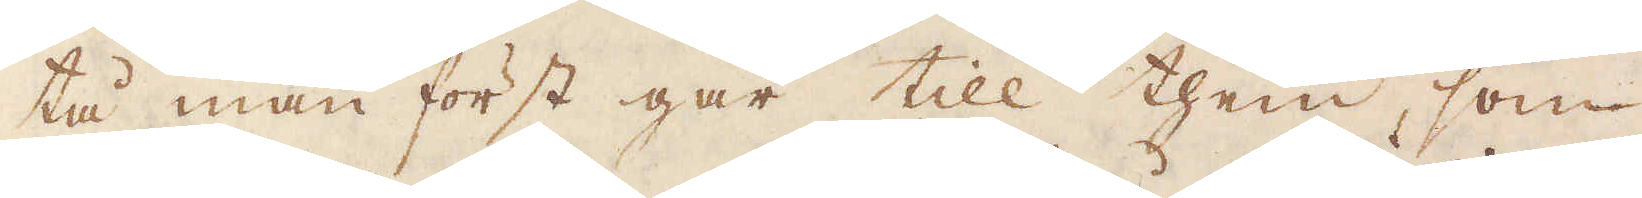tå man först går till them, som
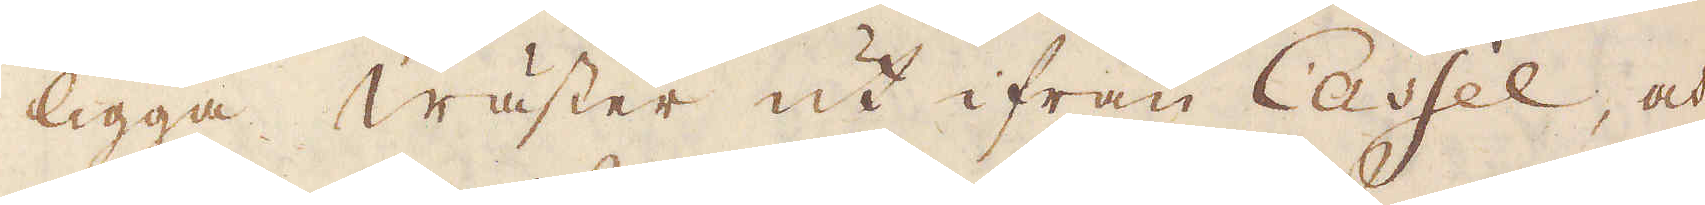ligga wäster ut ifrån Cassel, och
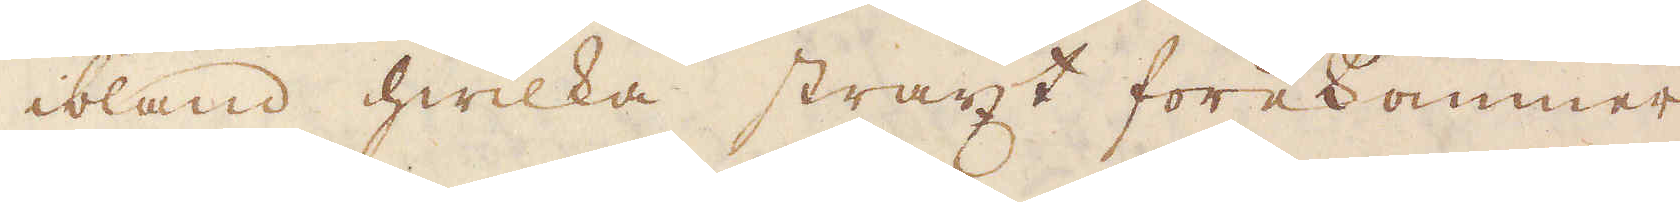ibland hwilka straxt förekommer
